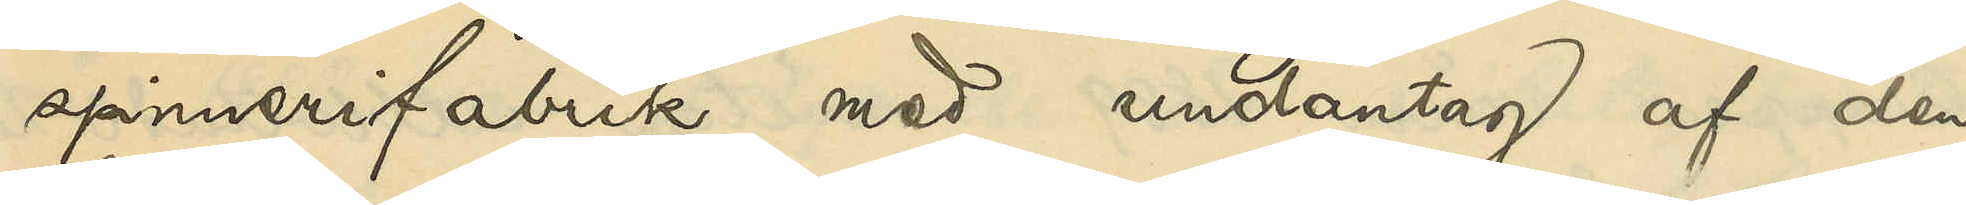spinnerifabrik med undantag af den
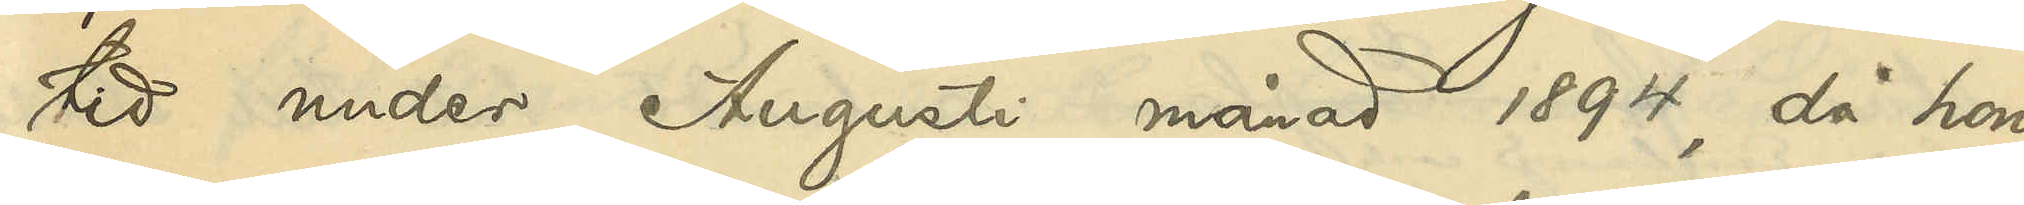tid under Augusti månad 1894, då hon
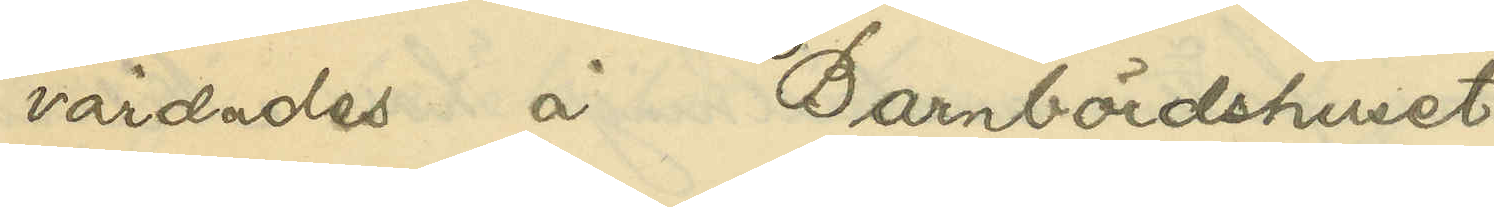vårdades å Barnbördshuset.
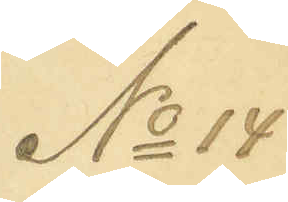No 14
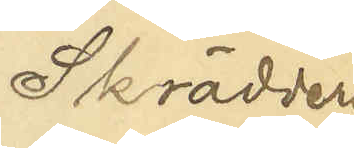Skrädderi¬
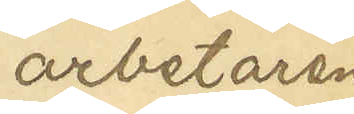arbetaren
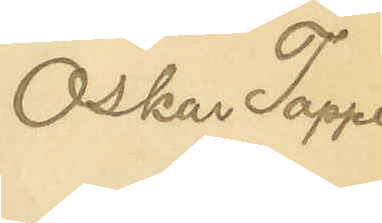Oskar Tapper
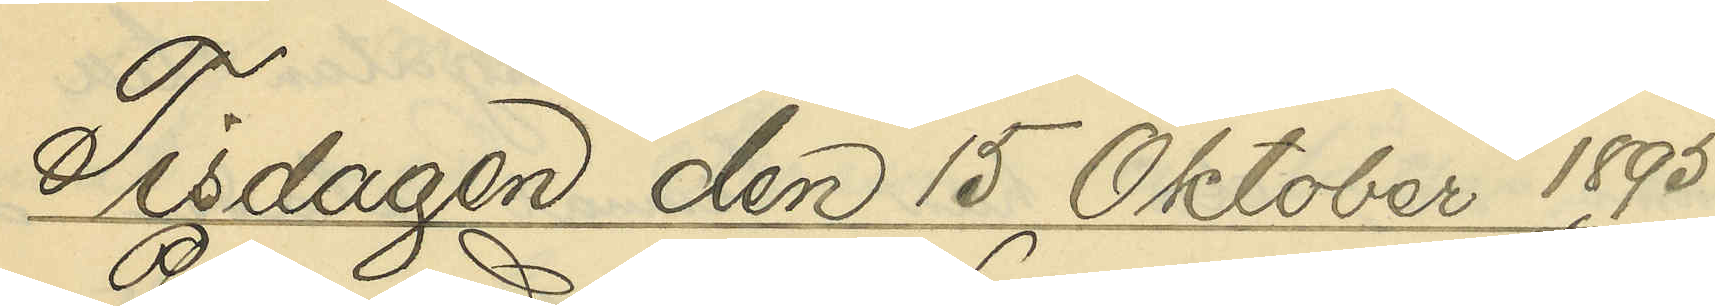Tisdagen den 15 Oktober 1895.
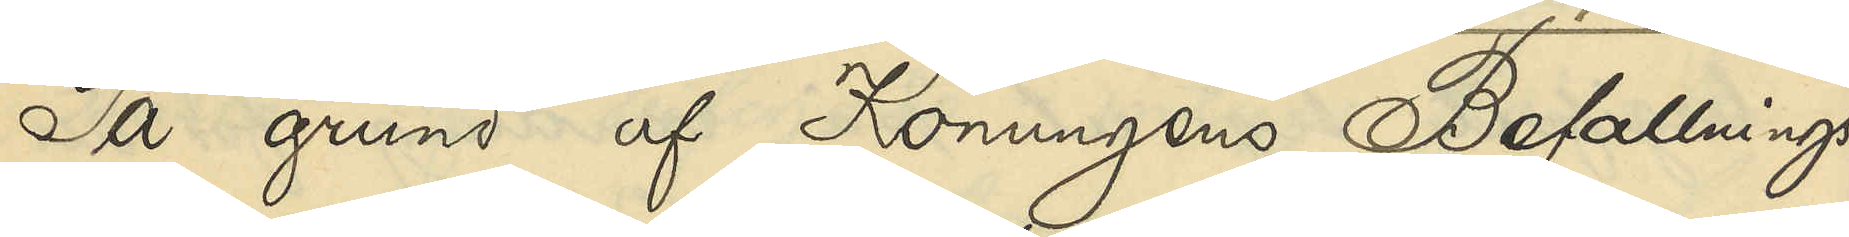På grund af Konungens Befallnings¬
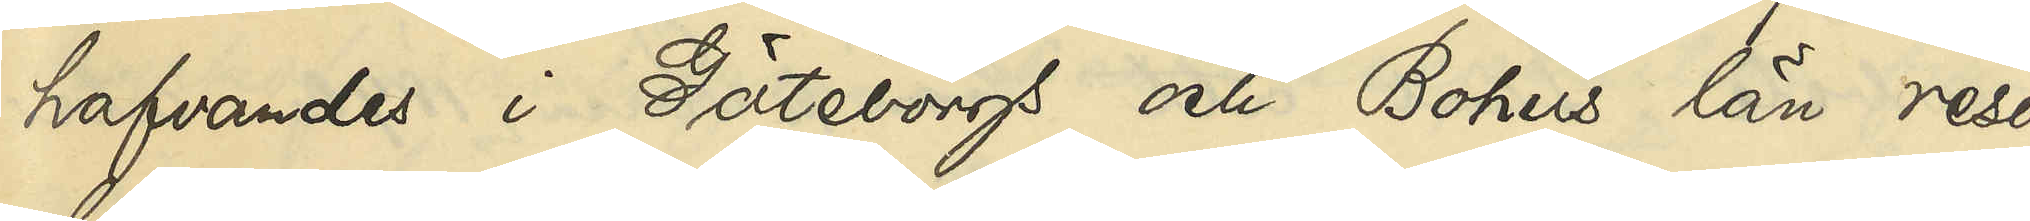hafvandes i Göteborgs och Bohus län reso¬
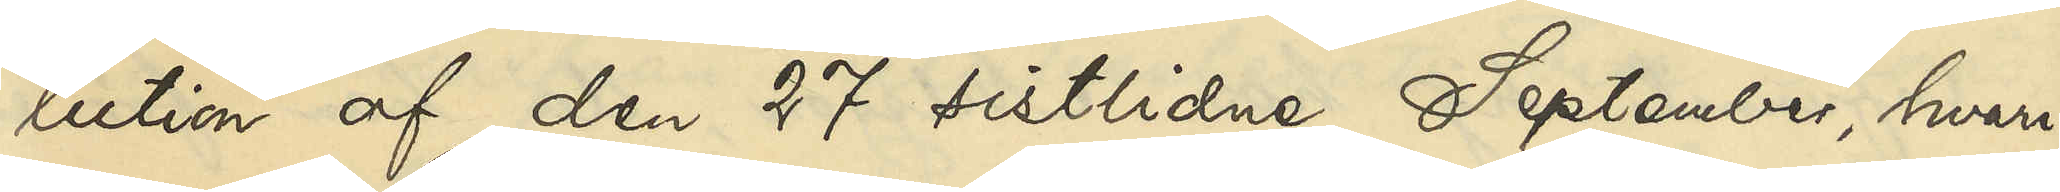lution af den 27 sistlidne September, hvari¬
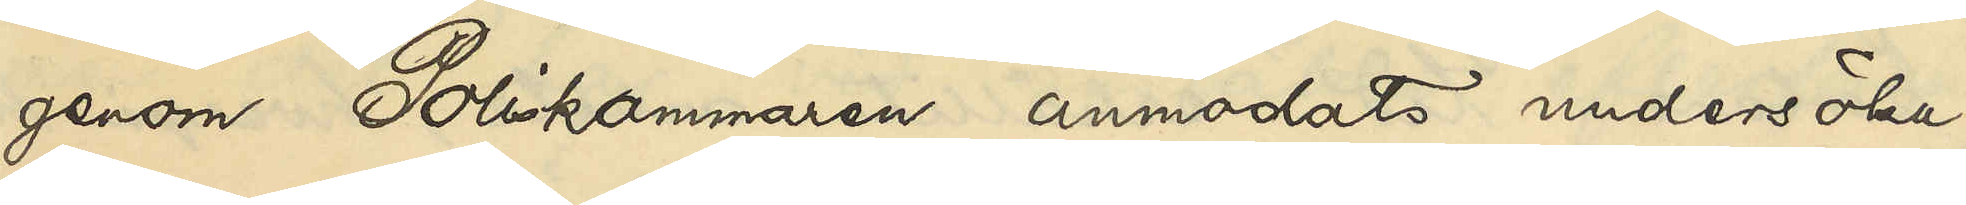genom Poliskammaren anmodats undersöka,
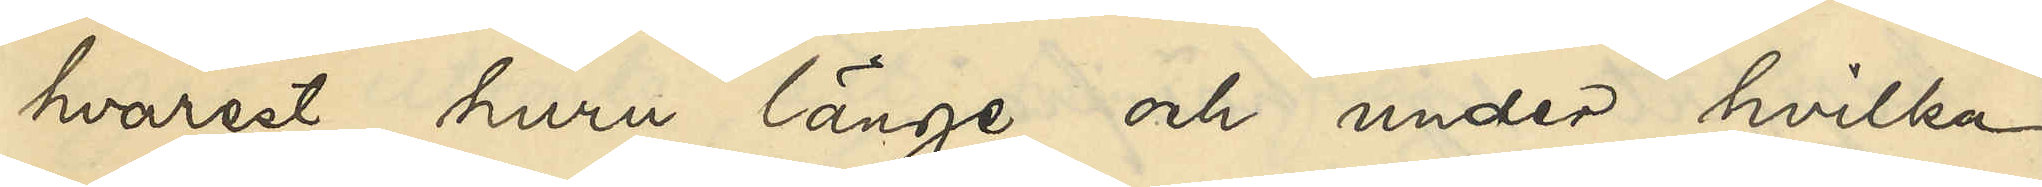hvarest, huru länge och under hvilka
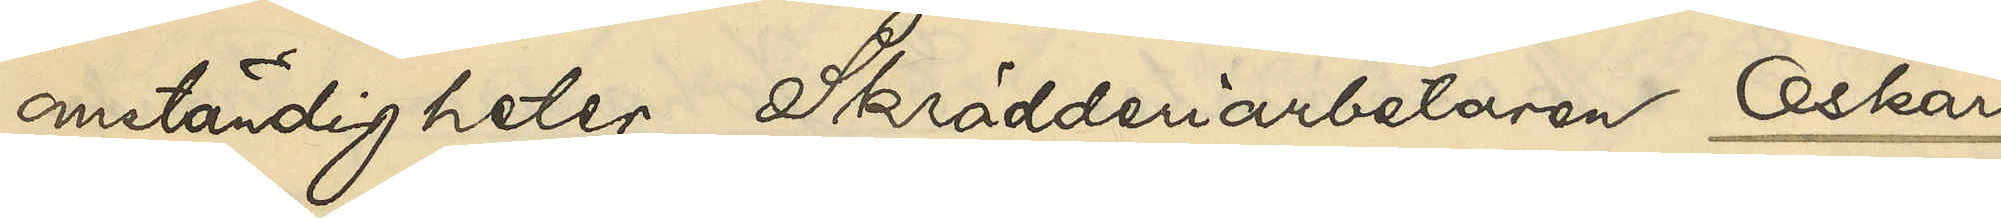omständigheter Skrädderiarbetaren Oskar
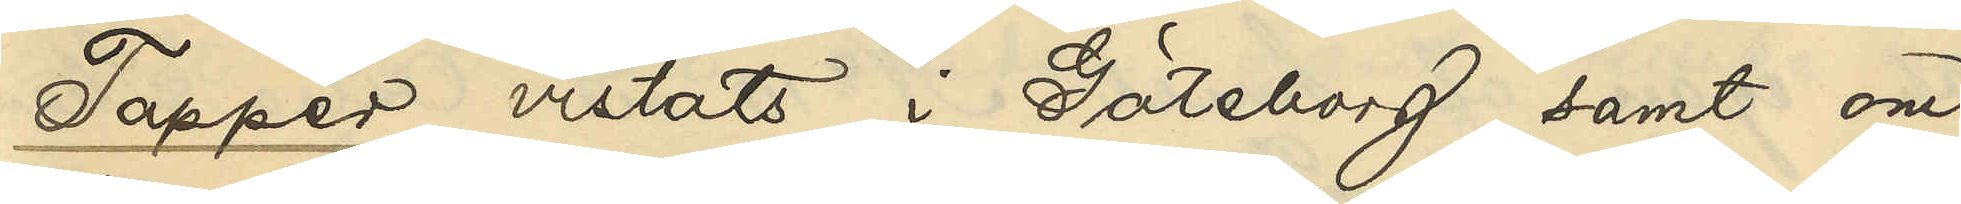Tapper vistats i Göteborg samt om
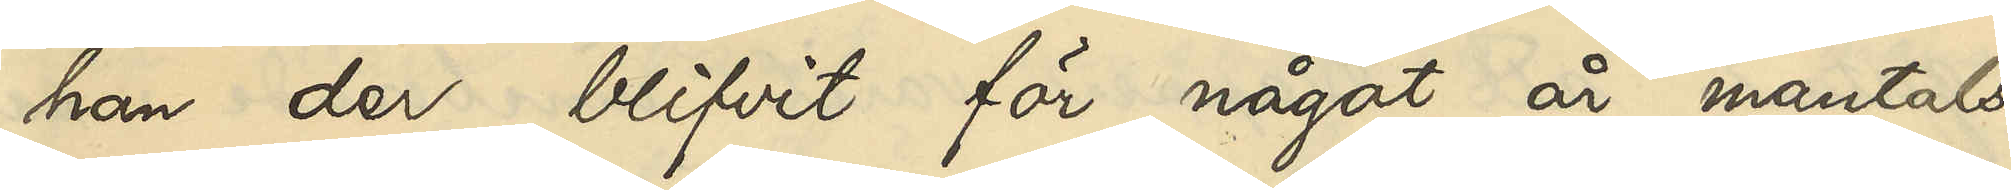han der blifvit för något år mantals¬
